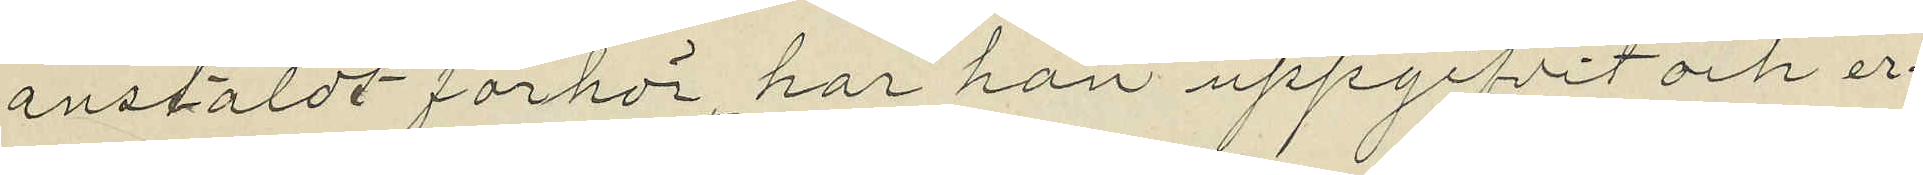anstäldt förhör har han uppgifvit och er¬
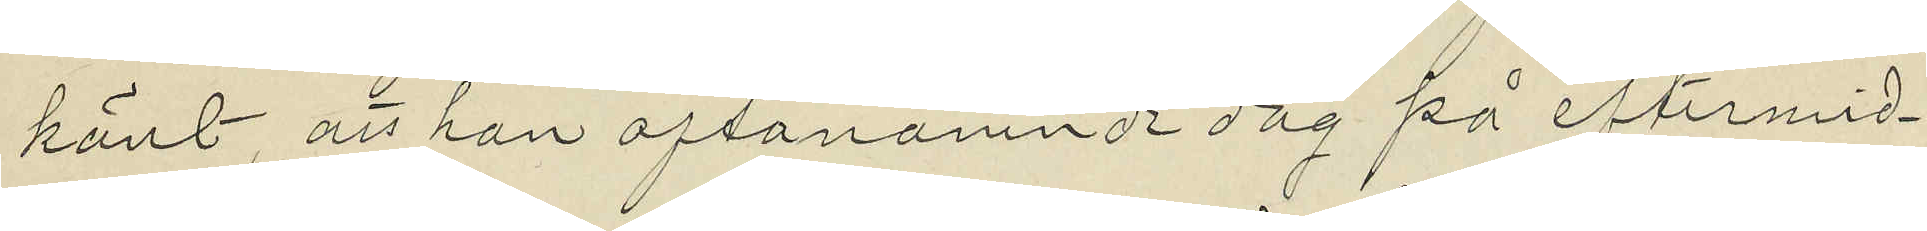känt, att han oftanämnde dag på eftermid¬
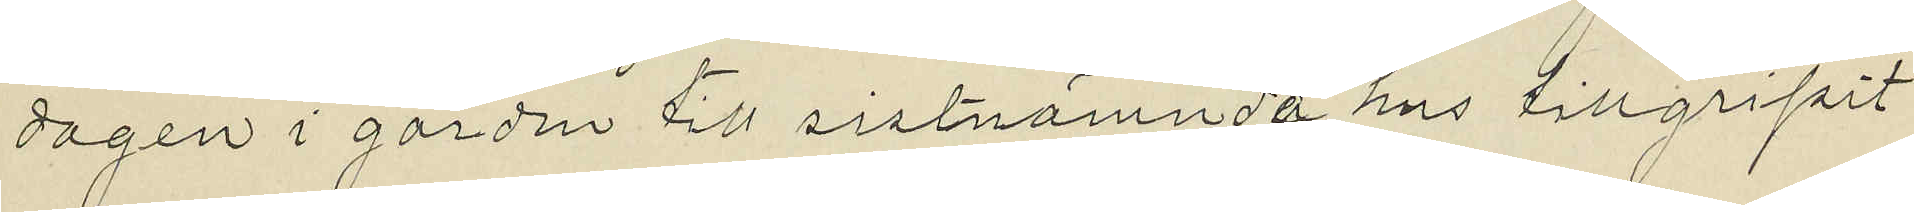dagen i gården till sistnämnda hus tillgripit
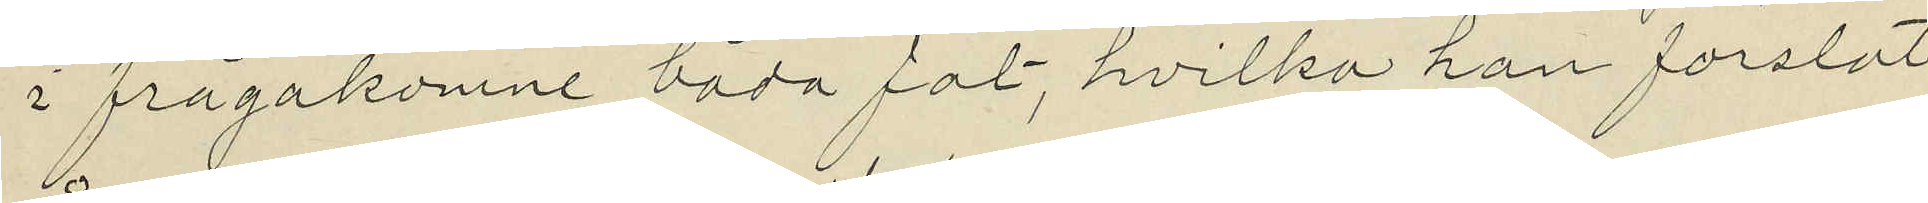i frågakomne båda fat, hvilka han forslat
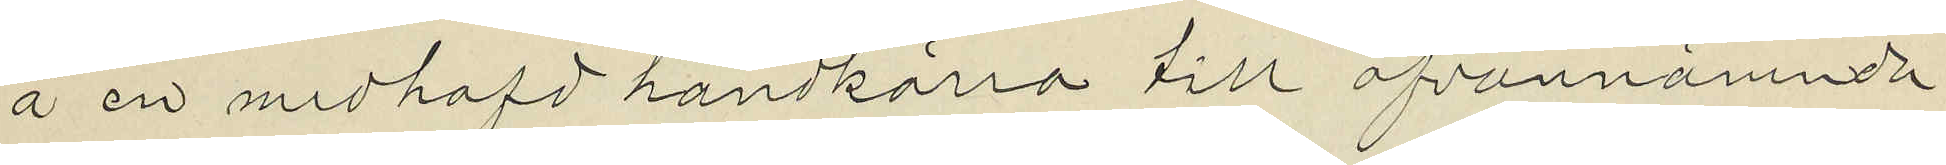å en medhafd handkärra till ofvannämnde
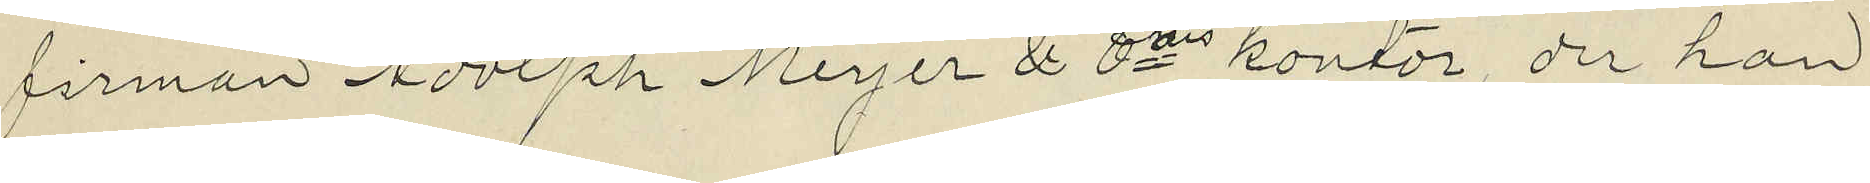firman Adolph Meyer & Cies kontor, der han
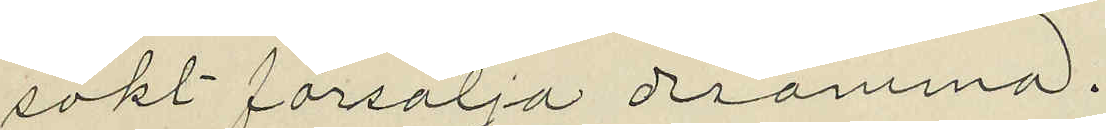sökt försälja desamma.
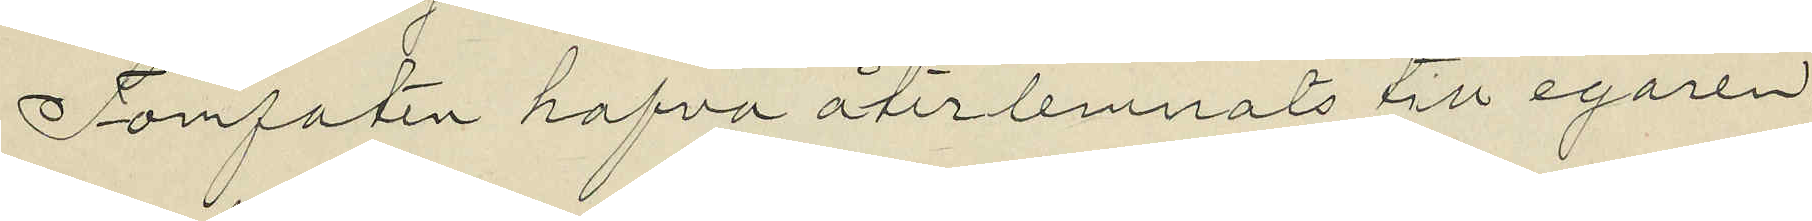Tomfaten hafva återlemnats till egaren.
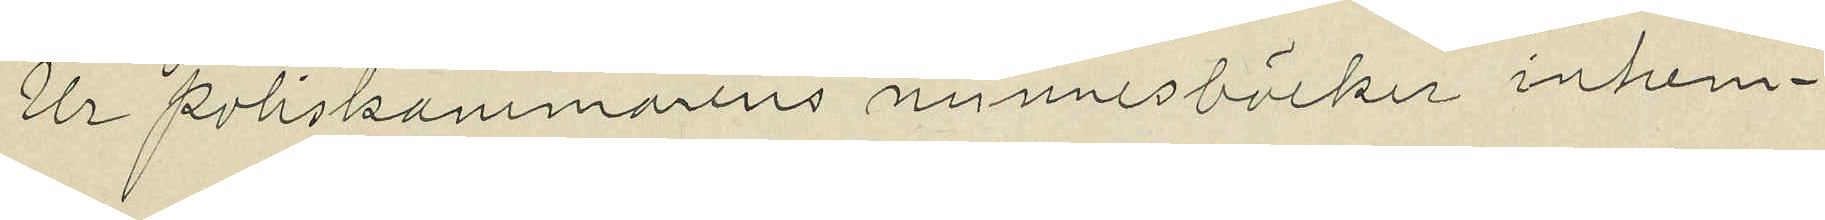Ur Poliskammarens minnesböcker inhem¬
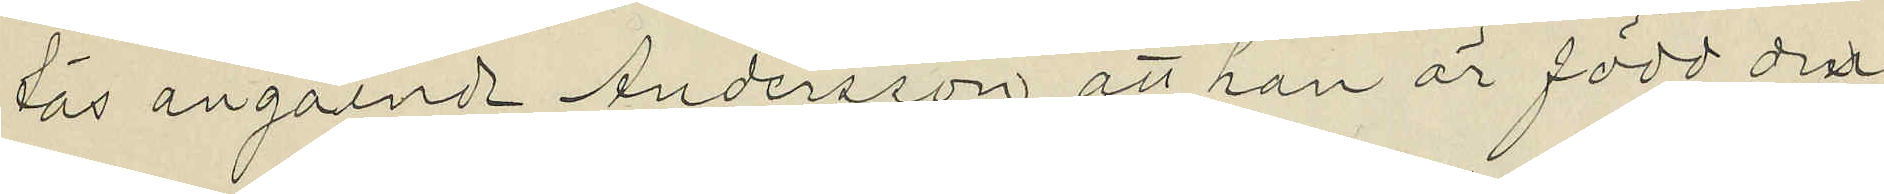tas angående Andersson, att han är född den
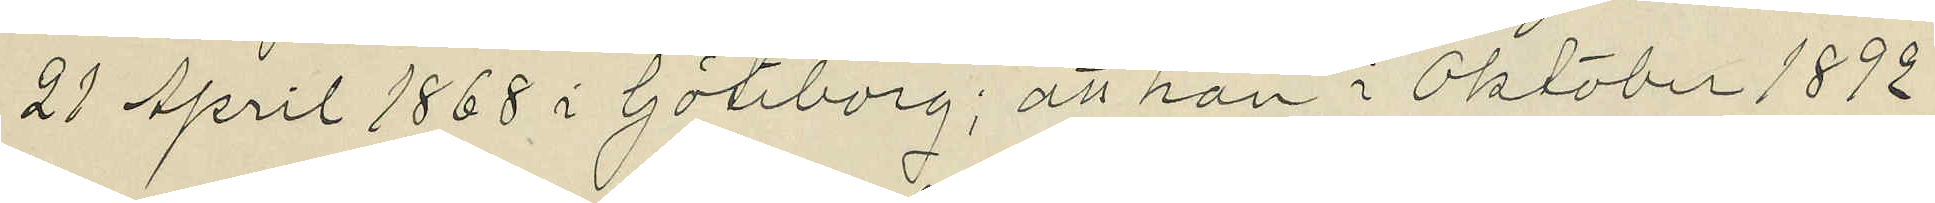21 April 1868 i Göteborg; att han i Oktober 1892
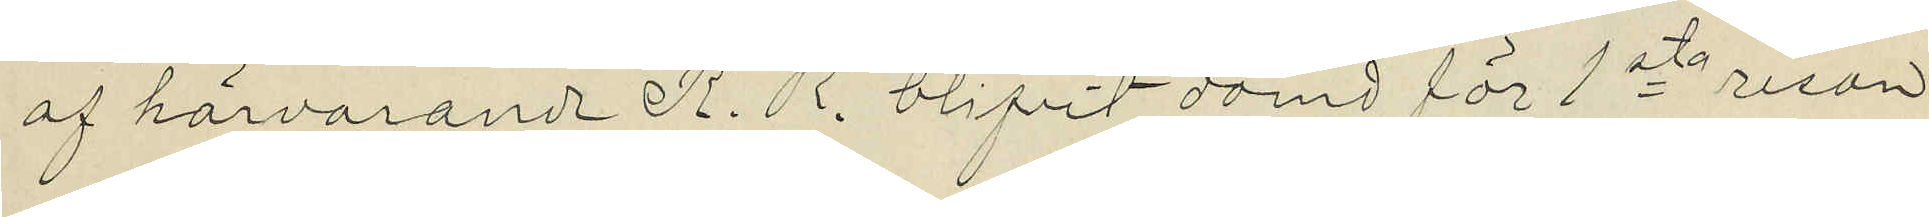af härvarande R. R. blifvit dömd för 1sta resan
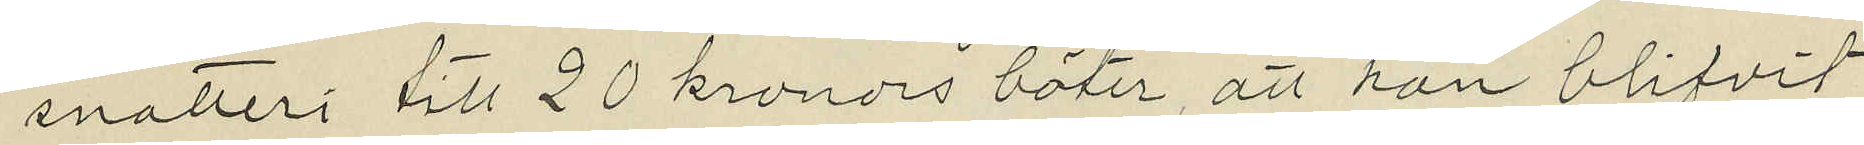snatteri till 20 kronors böter, att han blifvit
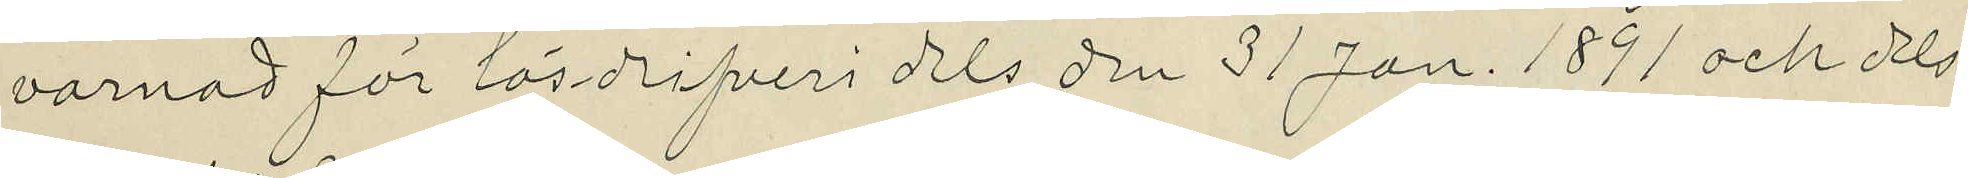varnad för lösdrifveri dels den 31 Jan. 1891 och Oels
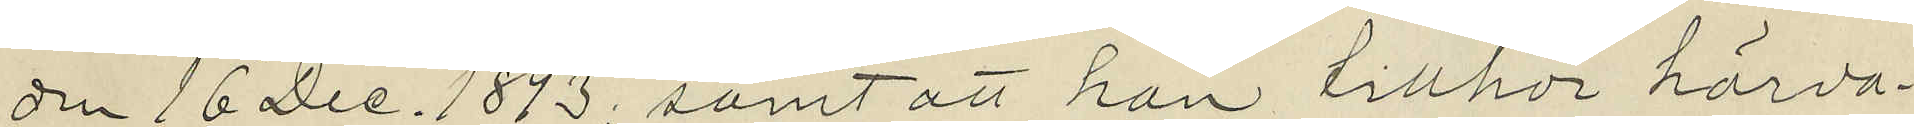den 16 Dec. 1893, samt att han tillhör härva¬
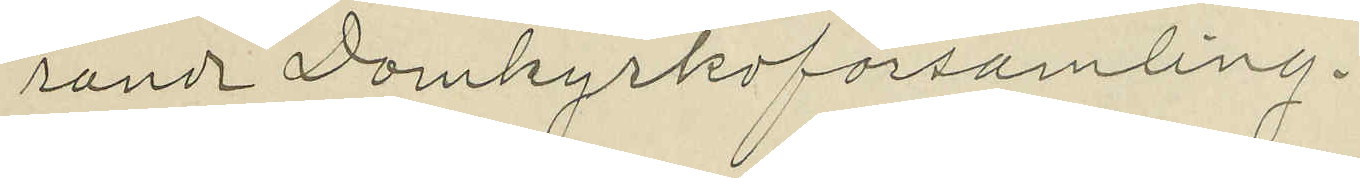rande Domkyrkoförsamling.
